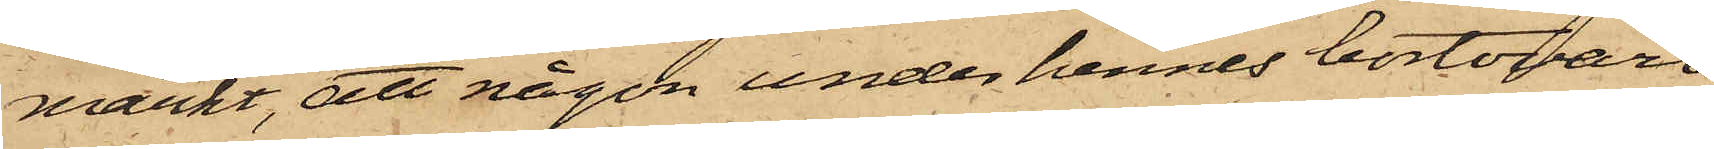märkt, att någon under hennes bortovaro
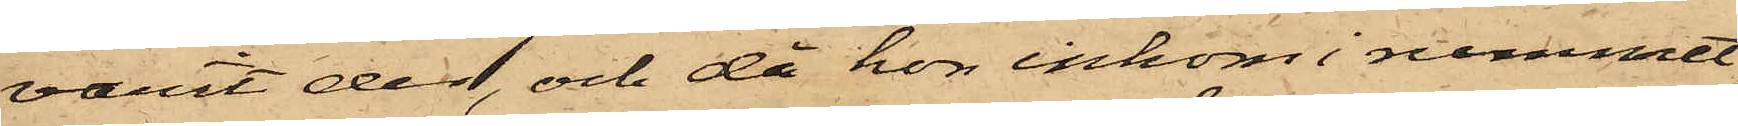varit der, och då hon inkom i rummet
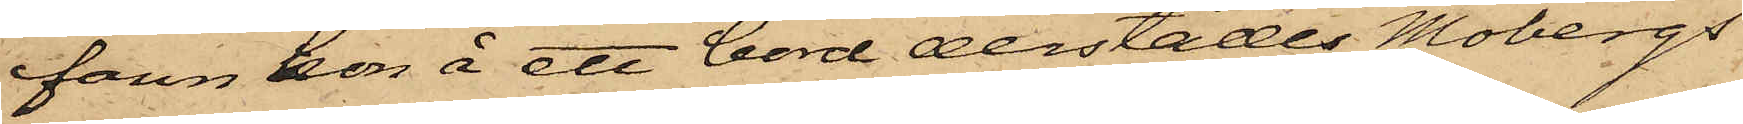fann hon å ett bord derstädes Mobergs
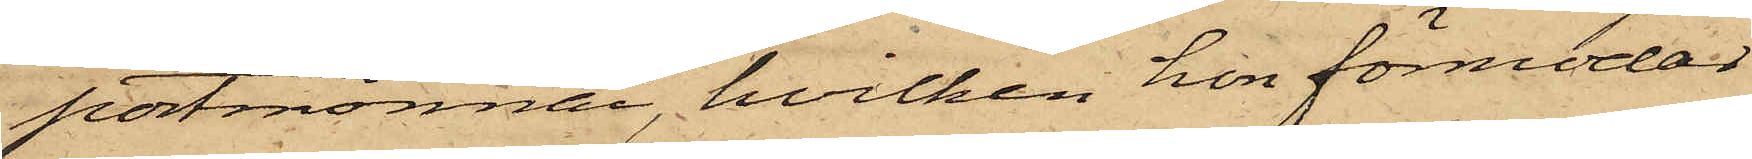portmonnai, hvilken hon förmodat
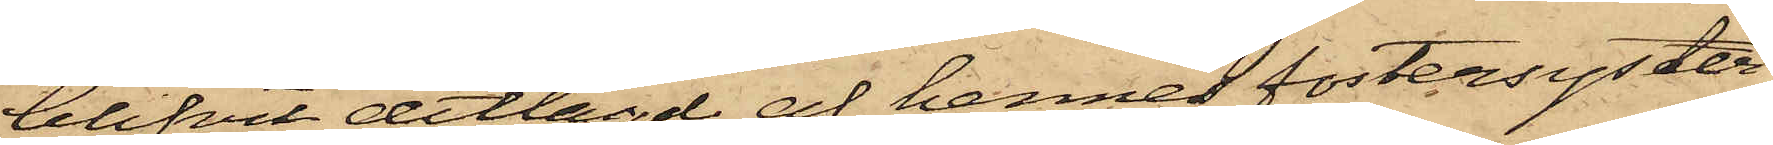blifvit ditlagd af hennes fostersyster,
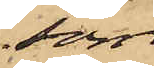som
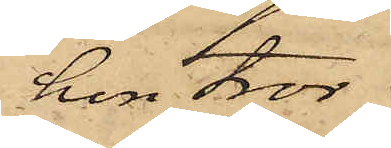hon tror
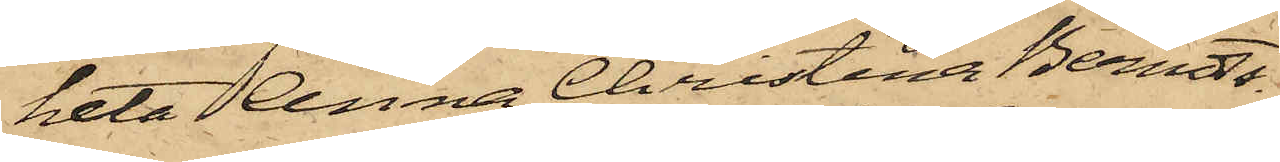heta Anna Christina Berndts¬
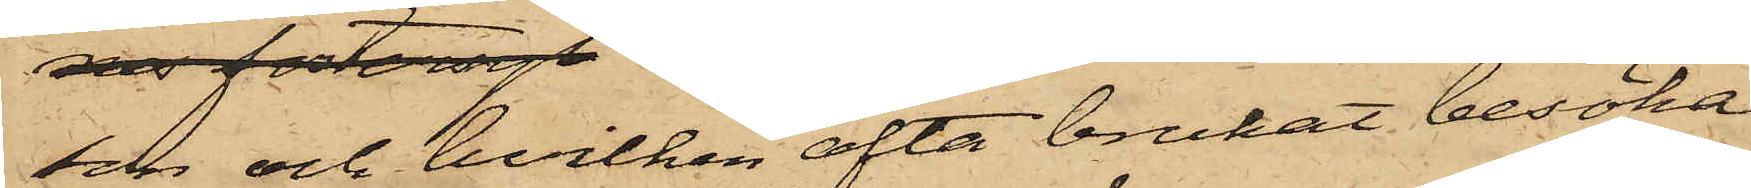son och hvilken ofta brukat besöka
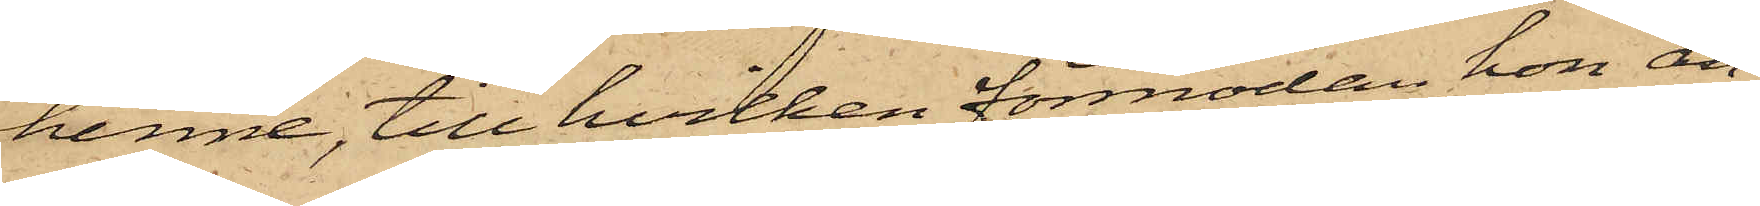henne, till hvilken förmodan hon an¬
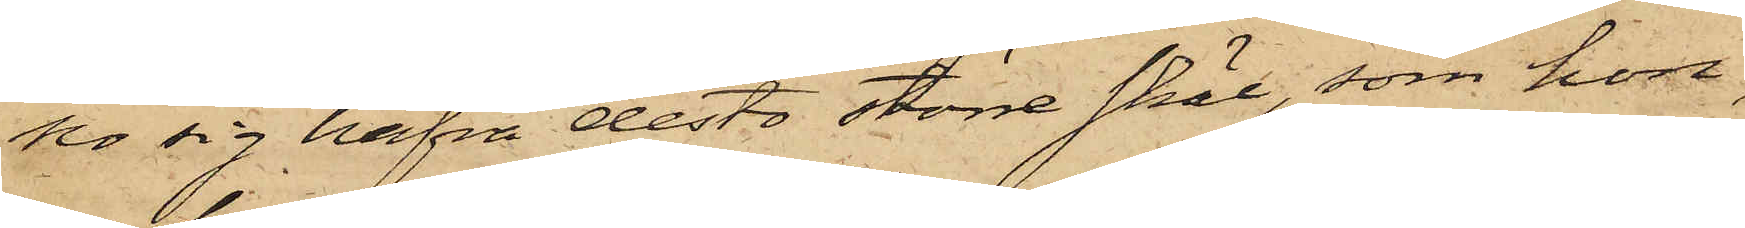 ser sig hafva desto större skäl, som hon,
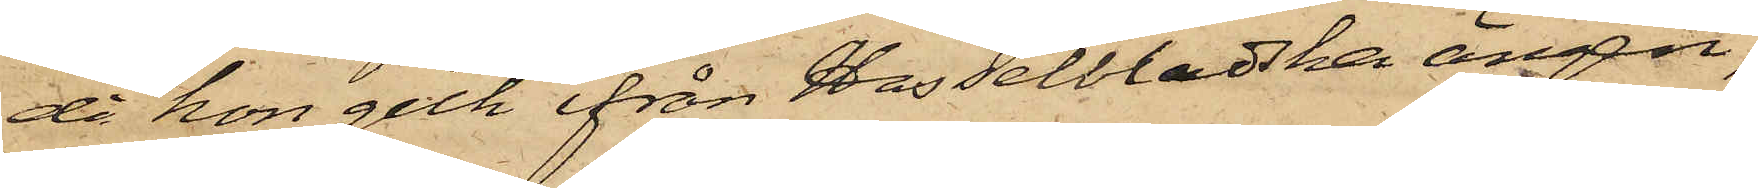då hon gick ifrån Hasselbladska ängen,
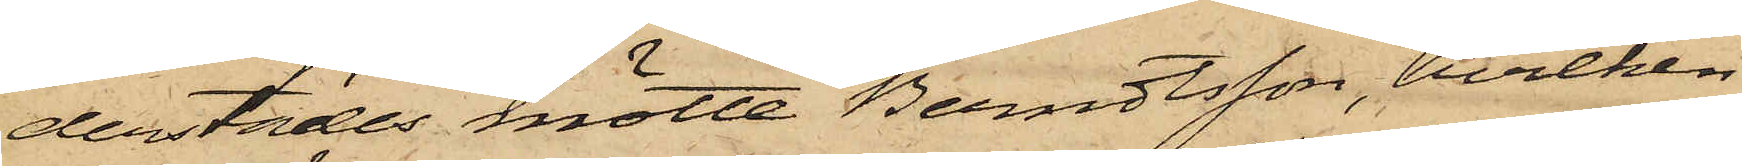derstädes mötte Berndtsson, hvilken
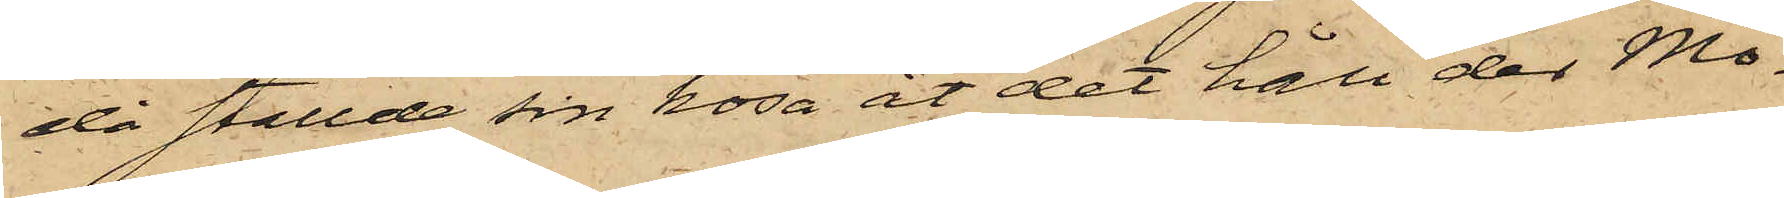då ställde sin kosa åt det håll der Mo¬
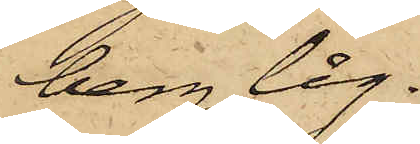berg låg.
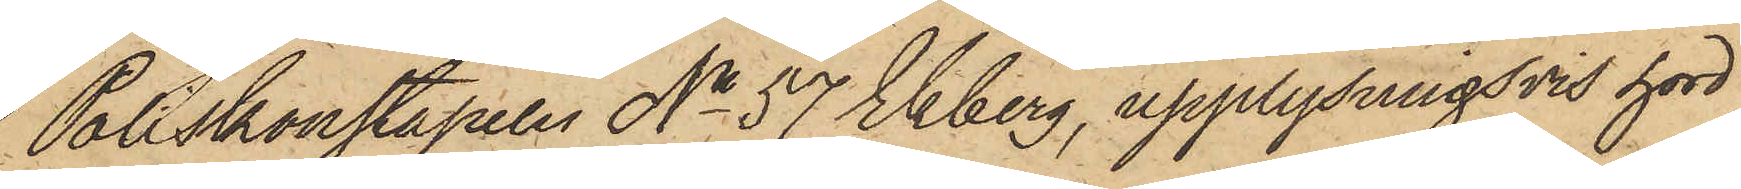Poliskonstapeln No 57 Ekberg, upplysningsvis hörd,
